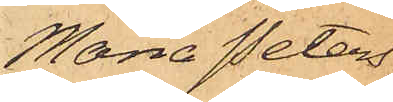Maria Peters¬
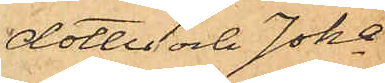dotter och Joha
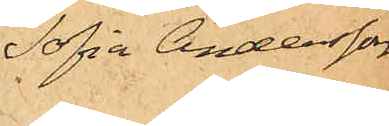Sofia Andersson
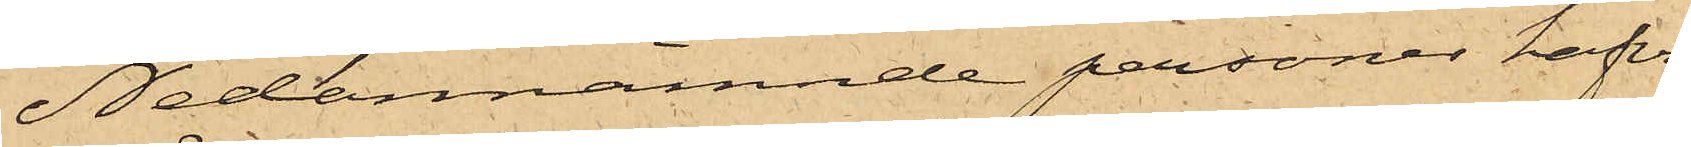Nedannämnde personer hafva
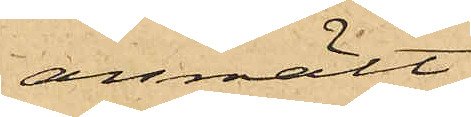anmält:
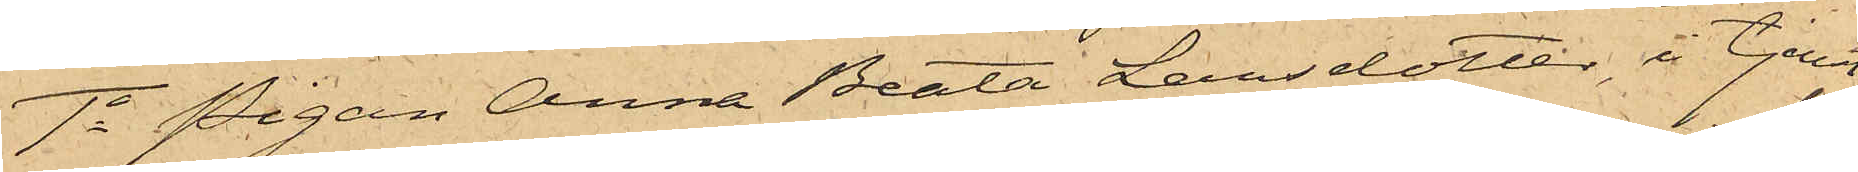1o Pigan Anna Beata Larsdotter, i tjenst
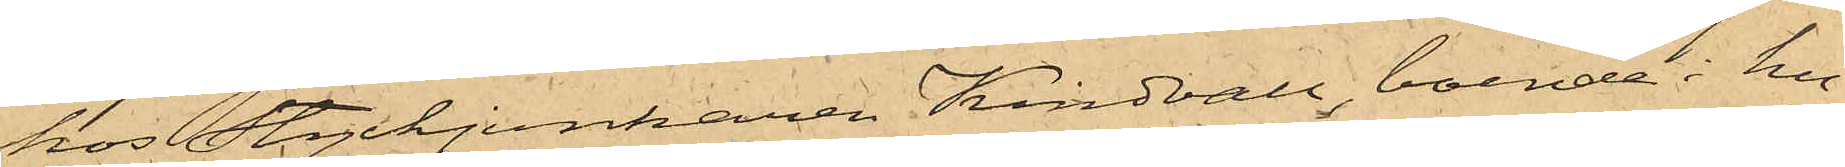hos Styckjunkaren Kindvall, boende i hu¬
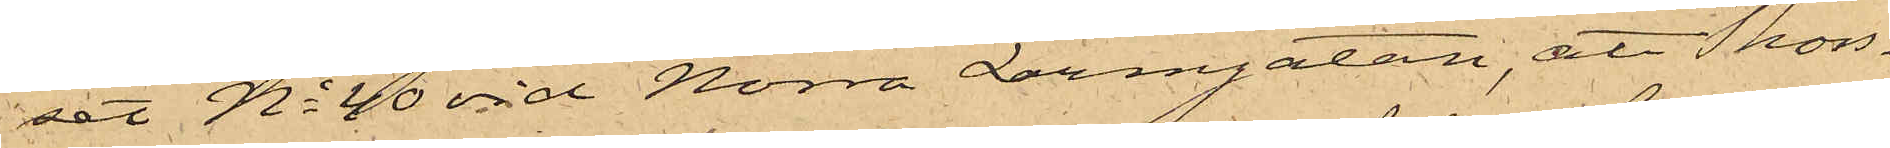set No 40 vid Norra Larmgatan, att Thors¬
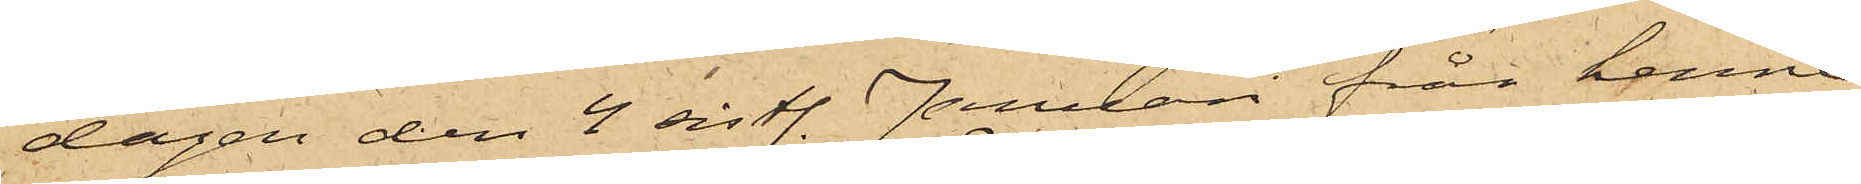dagen den 4 sistl. Januari från henne
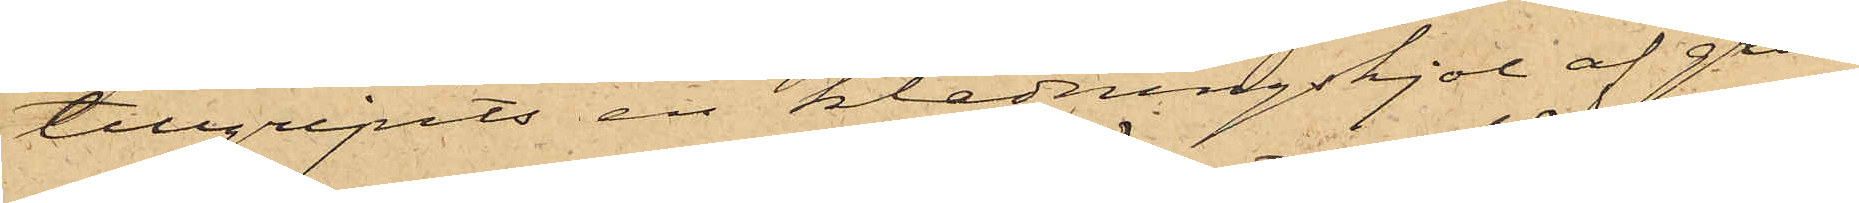tillgripits en klädningskjol af grön¬
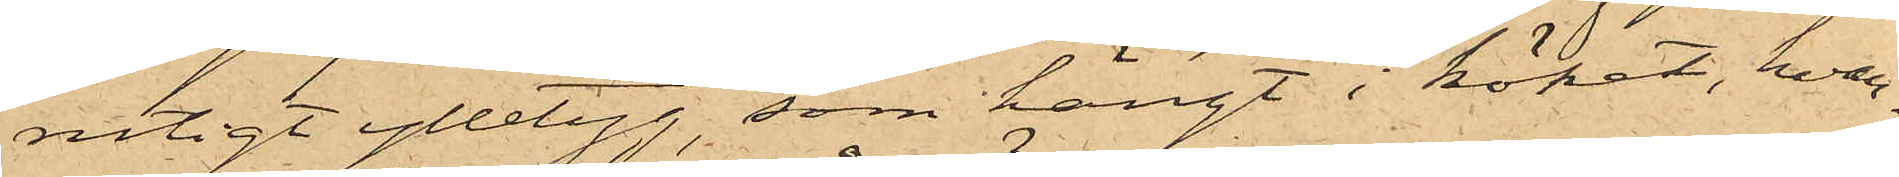rutigt ylletyg, som hängt i köket, hvar¬
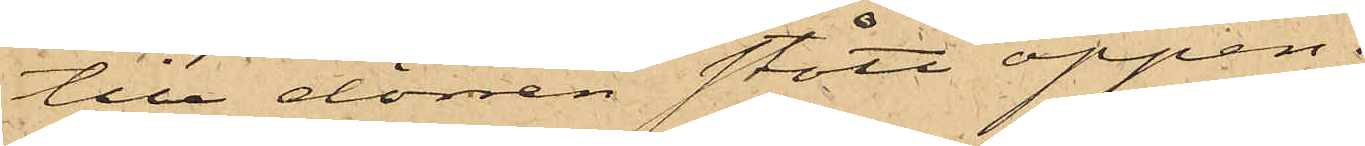till dörren stått öppen.
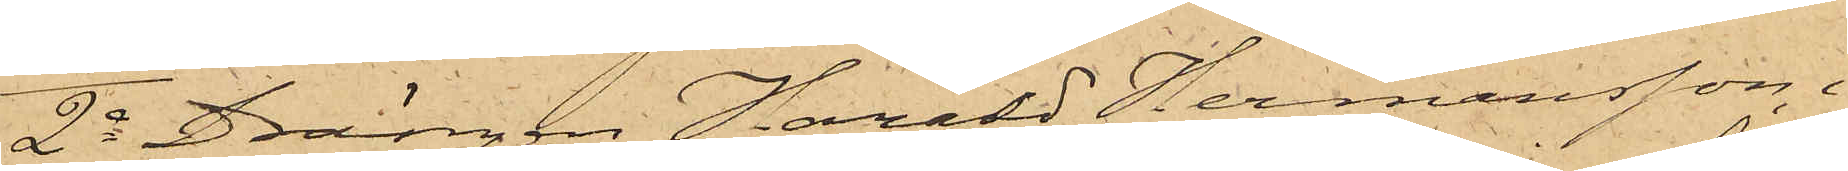2o Drängen Harald Hermansson, i
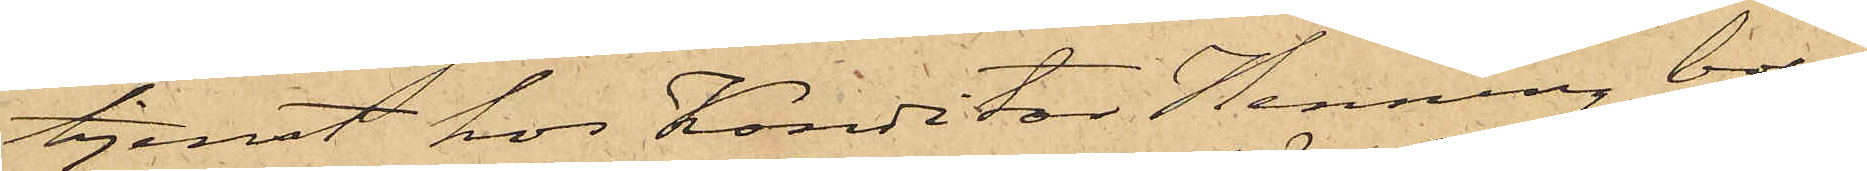tjenst hos Konditor Henning, boen¬
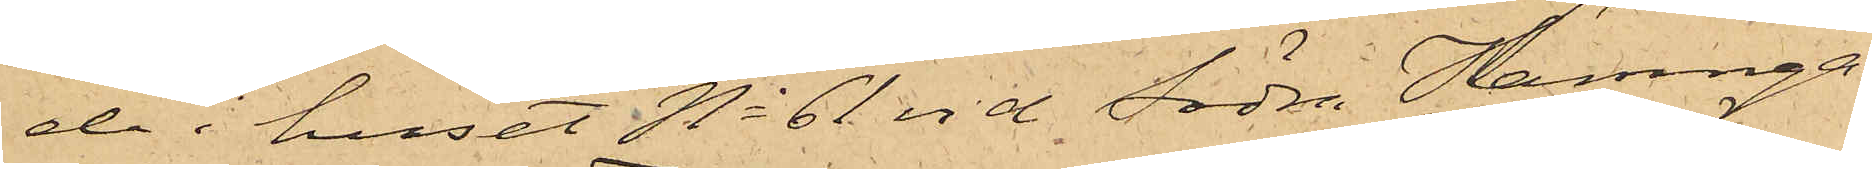de i huset No 61 vid Södra Hamnga¬
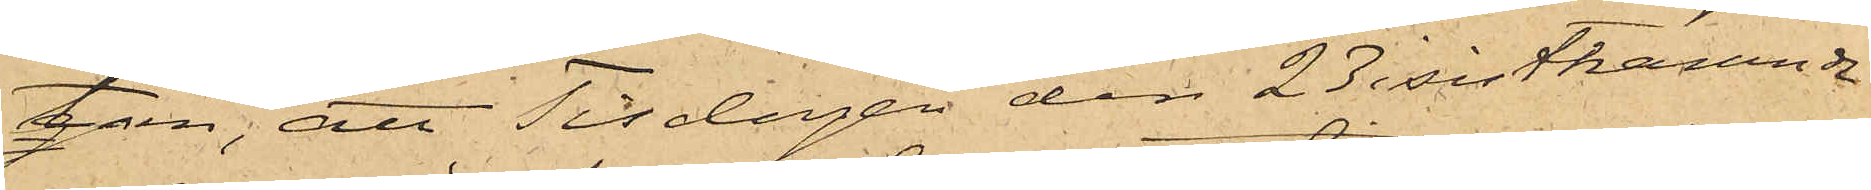tan; att Tisdagen den 23 sistnämnde
